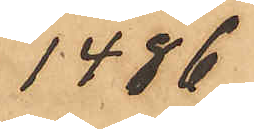1486
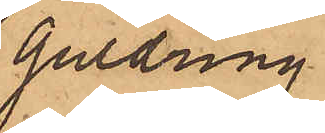guldring
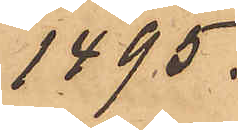1495.
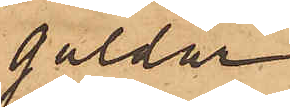guldur
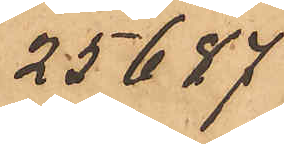25677
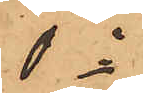do
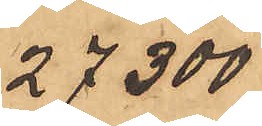27300
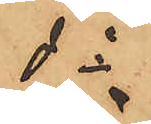do
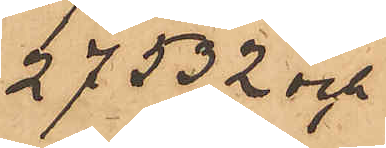27532 och
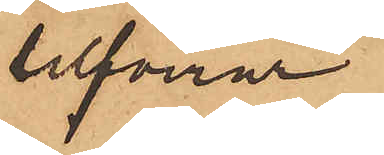silfverur
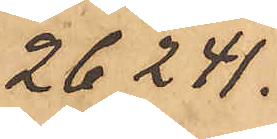26241
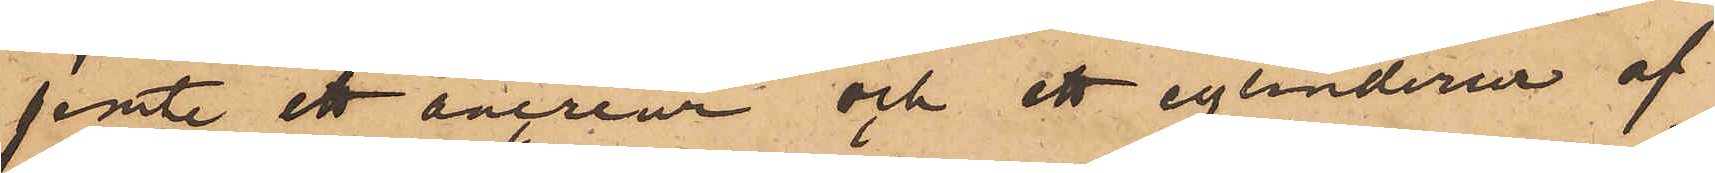jemte ett ancreur och ett cylinderur af
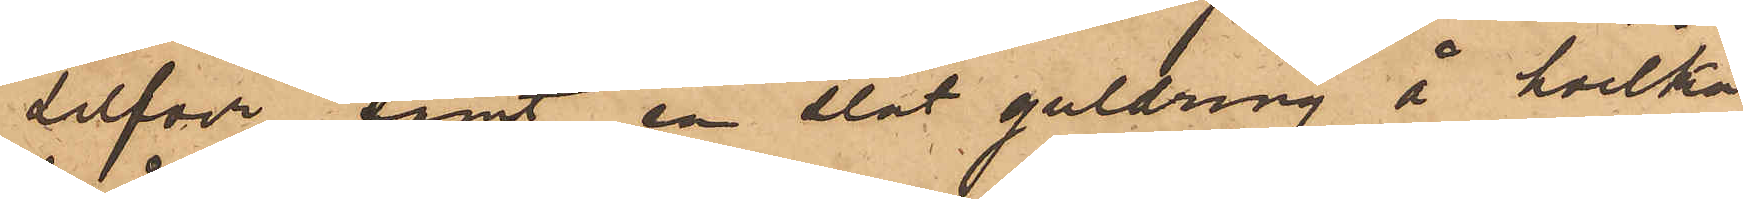silfver samt en slät guldring å hvilka
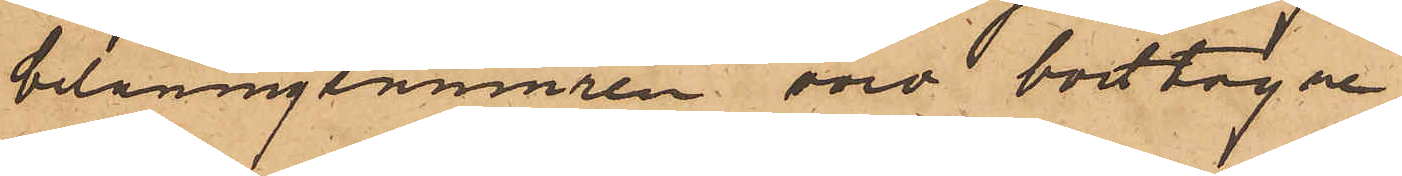belåningnumren voro borttagne.
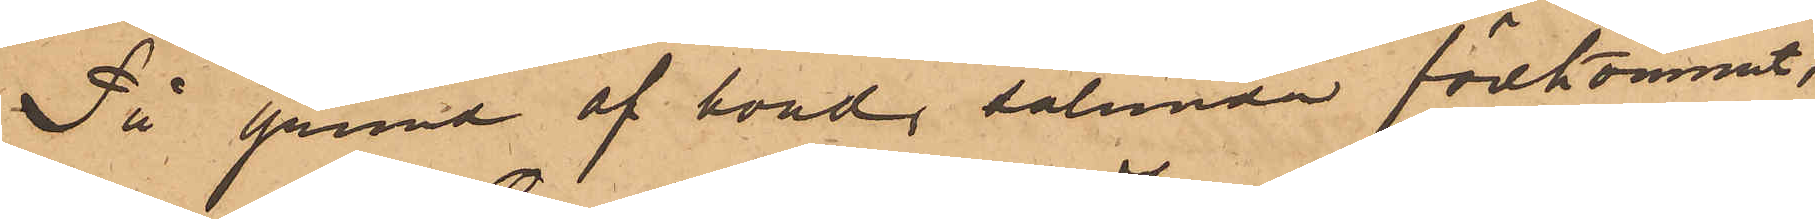På grund af hvad sålunda förekommit,
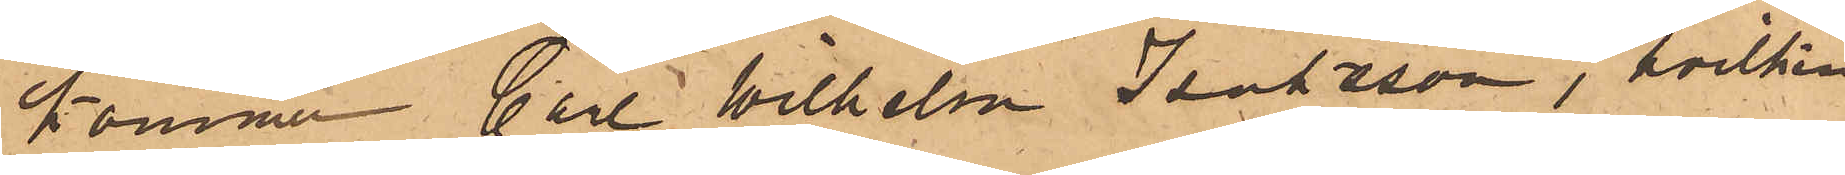kommer Carl Wilhelm Isaksson, hvilken
